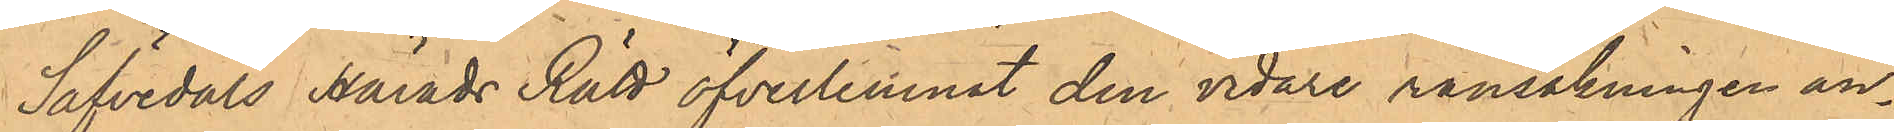Säfvedals Härads Rätt öfverlemnat den vidare ransakningen an¬
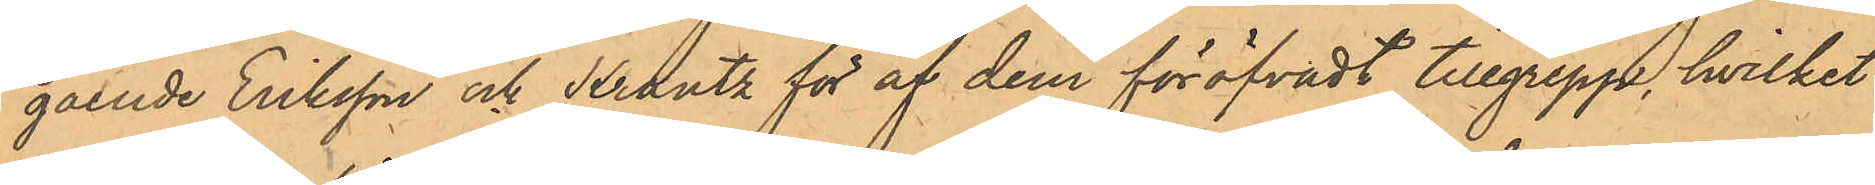gående Eriksson och Krantz för af dem föröfvat tillgrepp, hvilket 
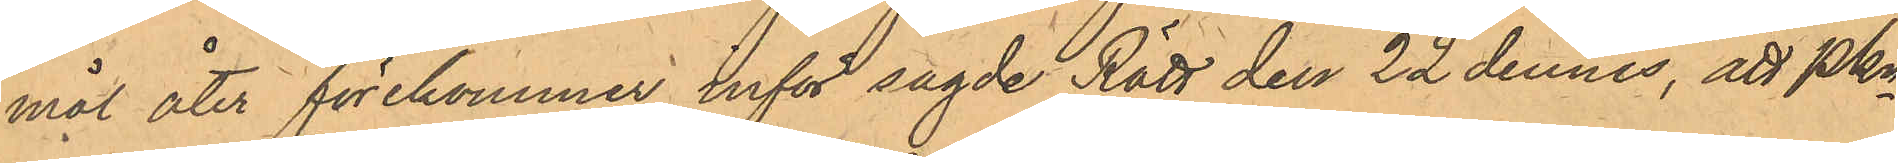mål åter förekommer inför sagde Rätt den 22 dennes, att PKn
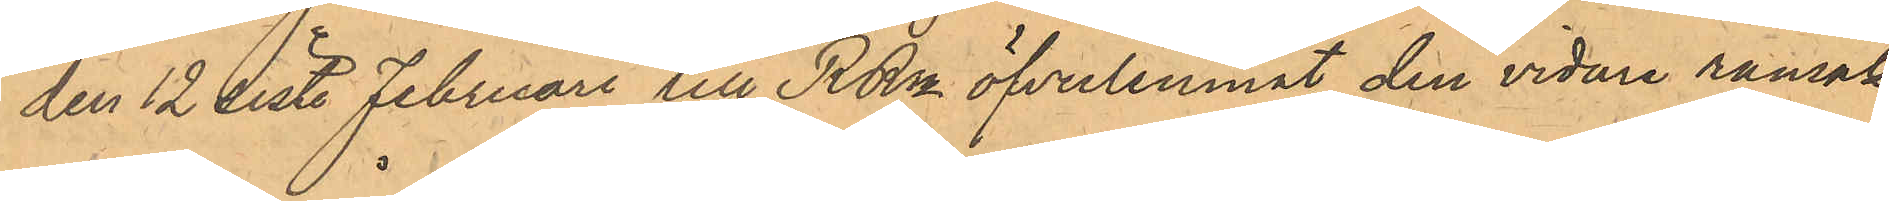den 12 sist. Februari till RRn öfverlemnat den vidare ransak¬
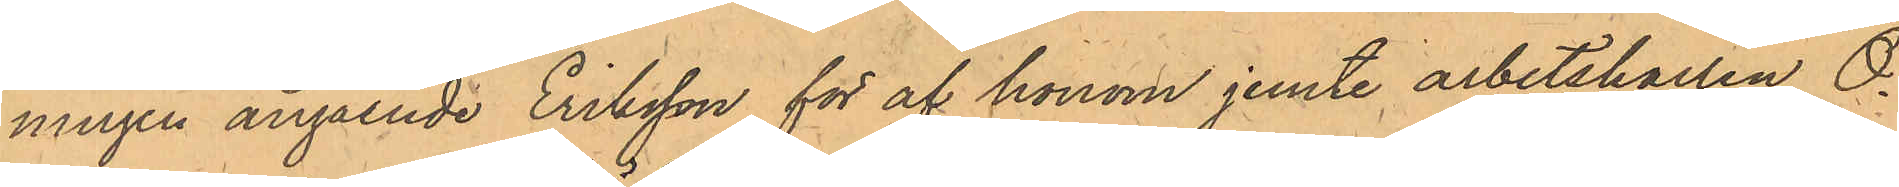ningen angående Eriksson för af honom jemte arbetskarlen O¬
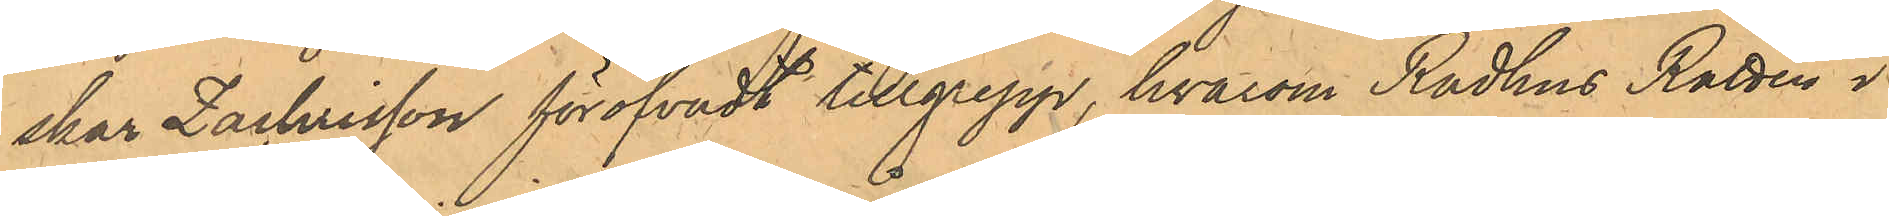skar Zachrisson föröfvat tillgrepp, hvarom Rådhus Rätten i
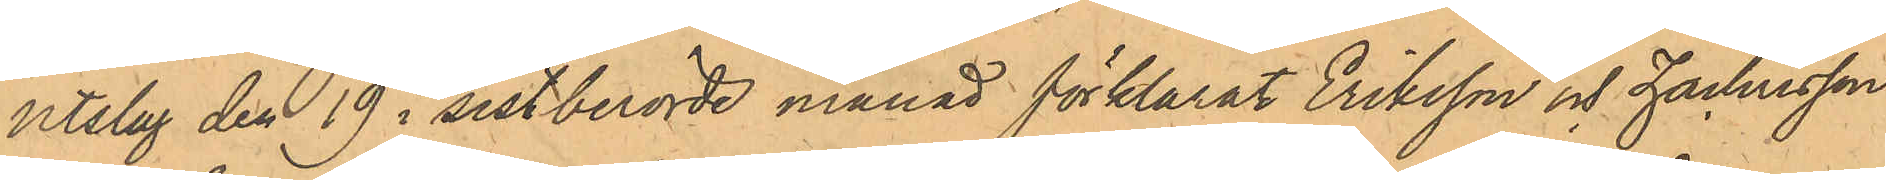utslag den 19 i sistberördemånad förklarat Eriksson och Zachrisson
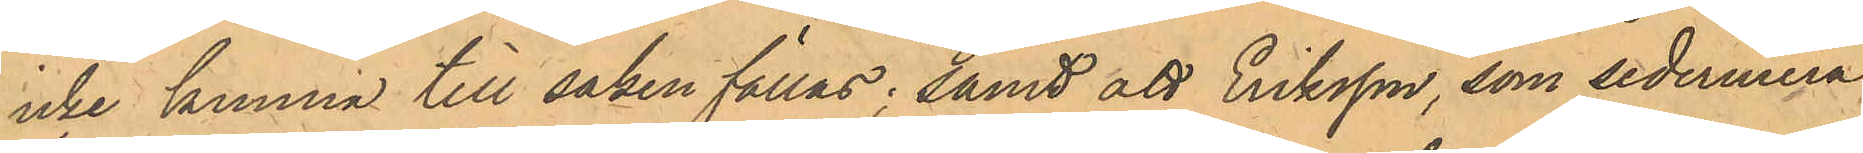icke kunna till saken fällas; samt att Eriksson, som sedermera
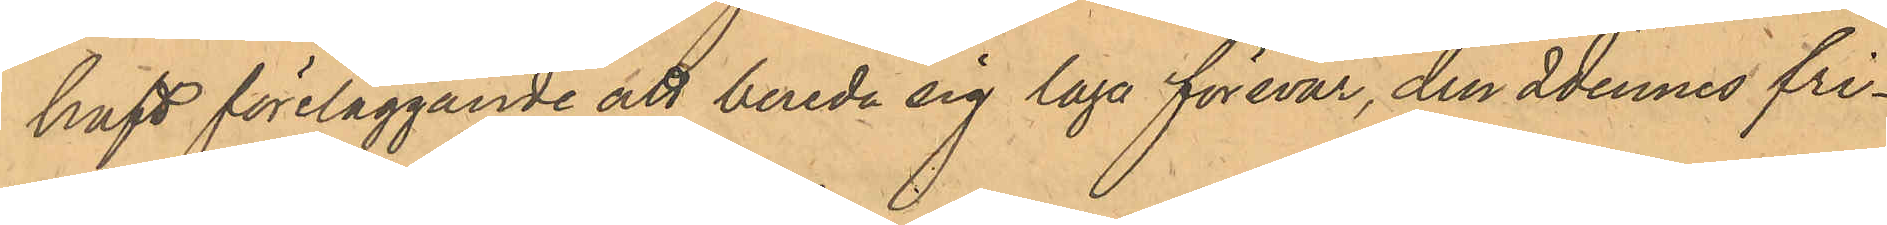haft föreläggande att bereda sig laga försvar, den 2 dennes fri¬
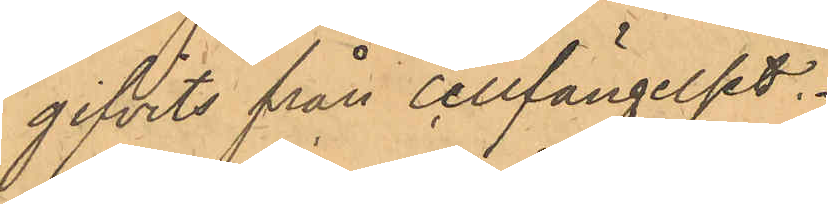gifvits från cellfängelset.
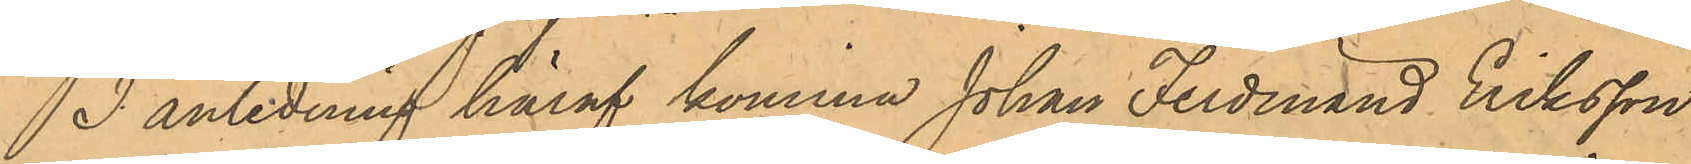I anledning häraf komma Johan Ferdinand Eriksson 
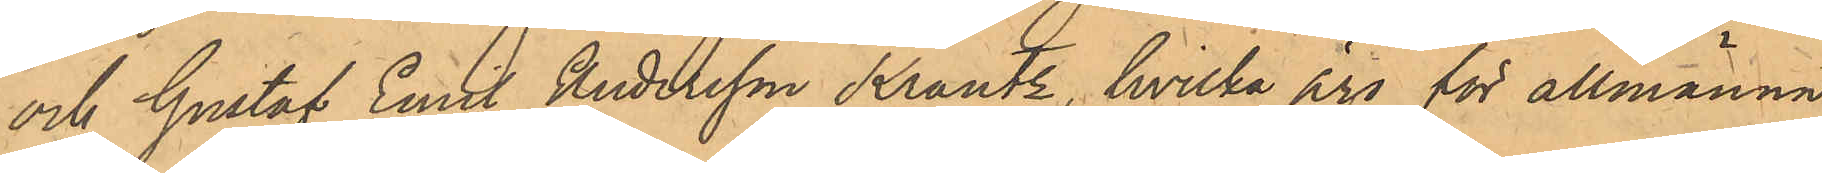och Gustaf Emil Andersson Krantz, hvilka äro för allmänna
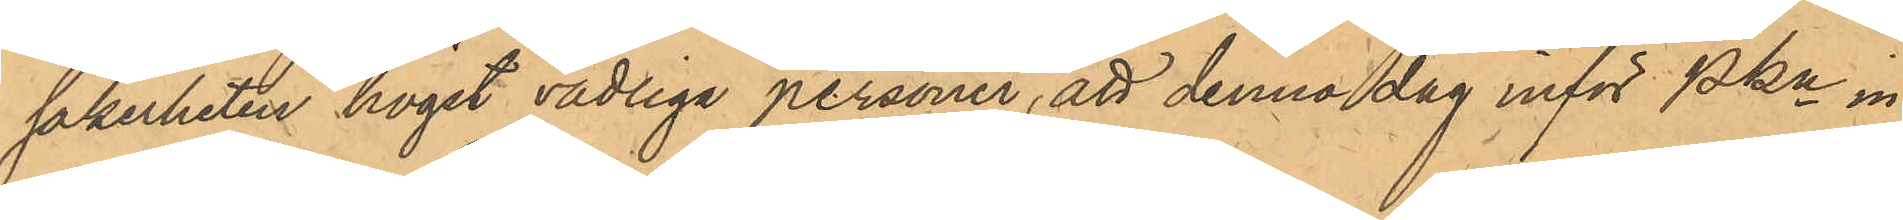säkerheten högst vådliga personer, att denna dag inför PKn in¬
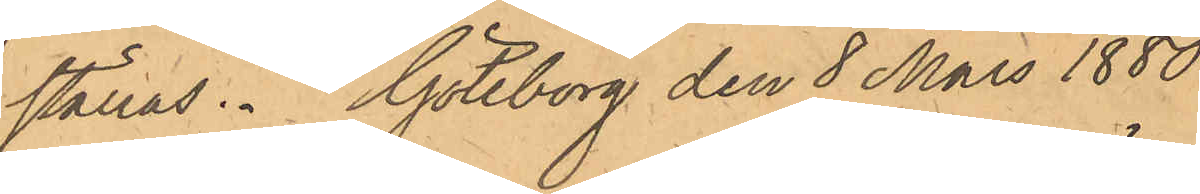ställas. Göteborg den 8 Mars 1880.
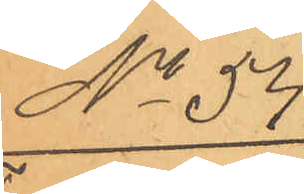No 54.
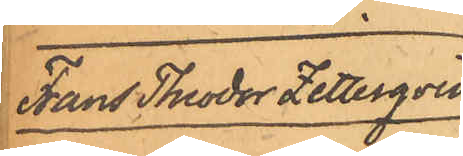Frans Theodor Zetterqvist,
